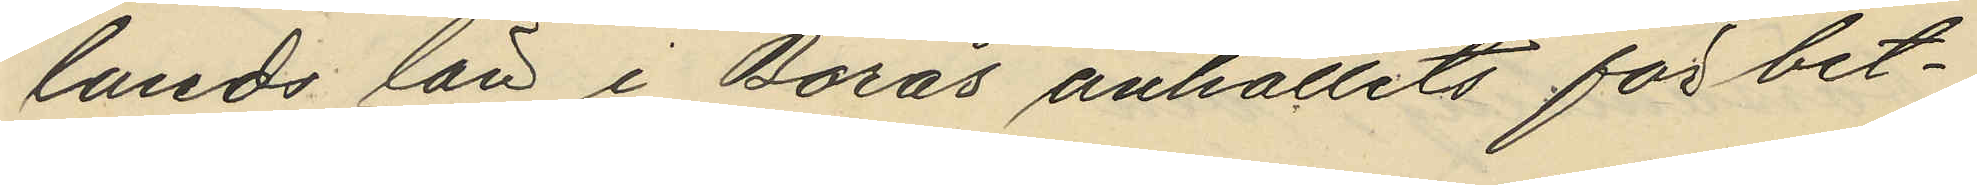lands län i Borås anhållits för bet¬
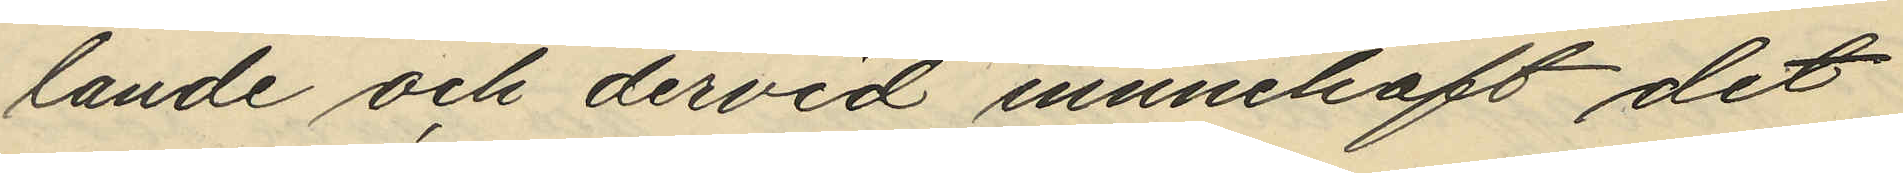lande och dervid innnehaft det
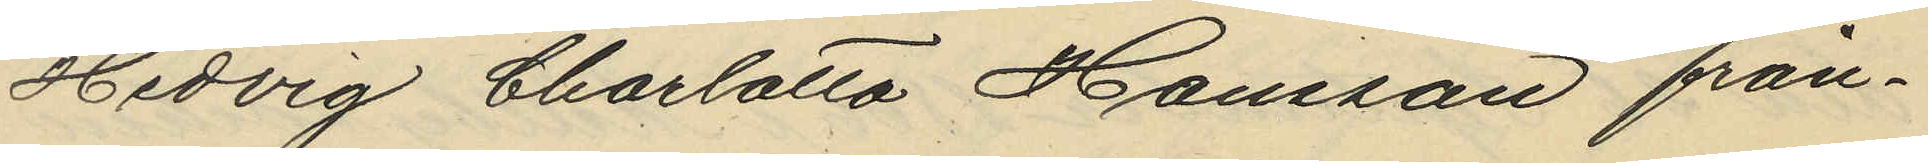Hedvig Charlotta Hansson från¬
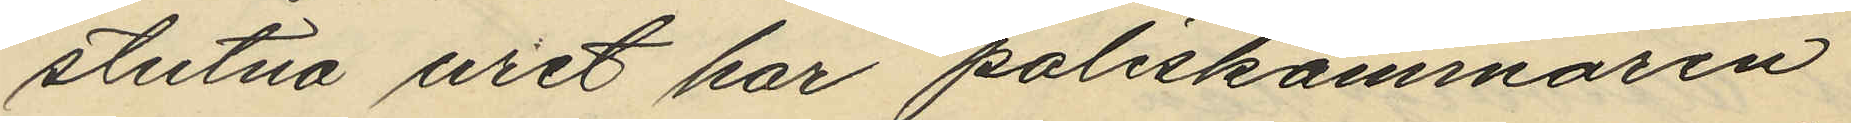stulna uret har poliskammaren
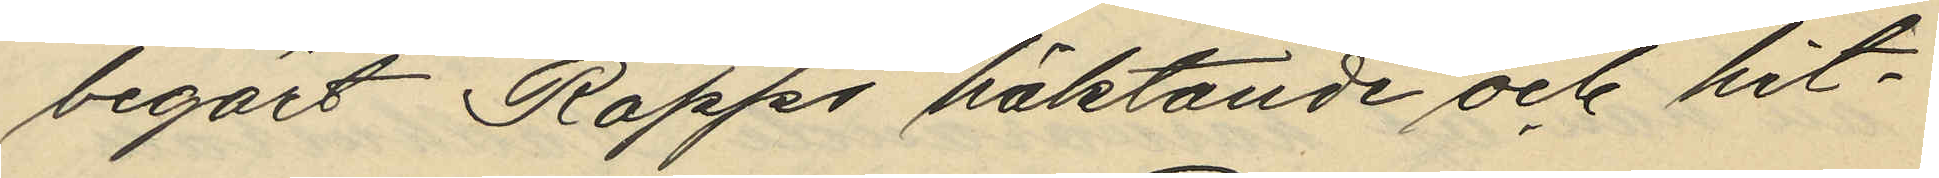begärt Rapps häktande och hit¬
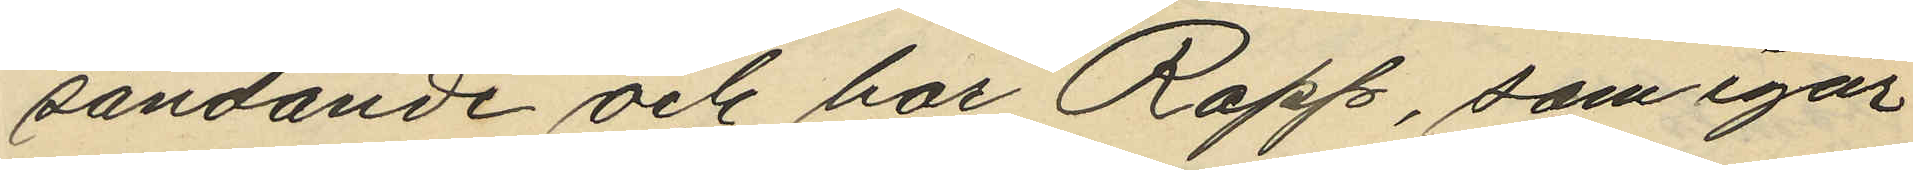sändande och har Rapp, som igår
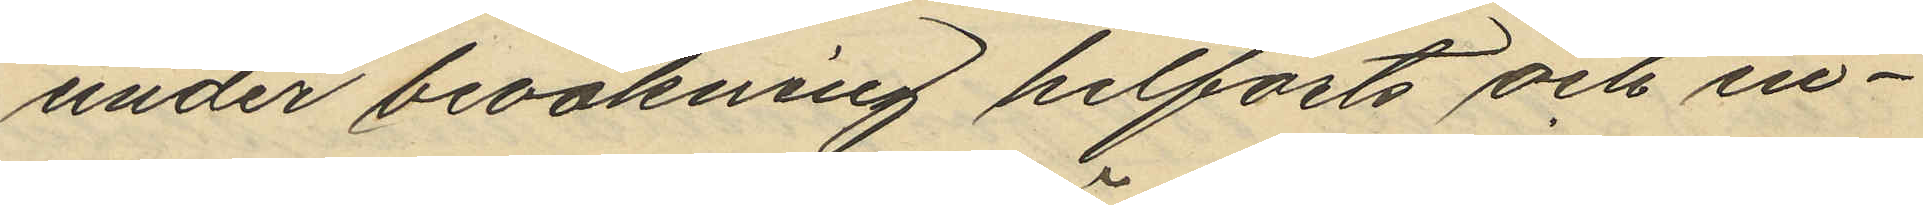under bevakning hitförts och in¬
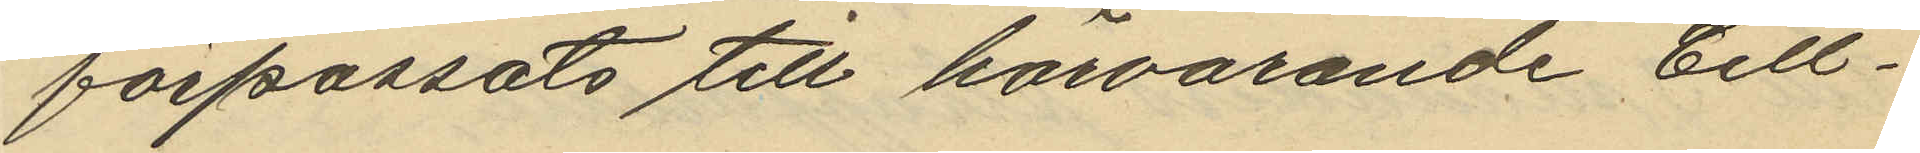förpassats till härvarande Cell¬
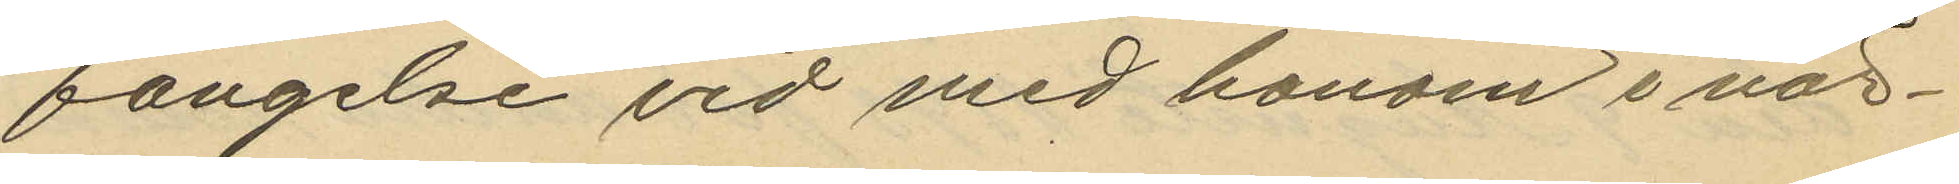fängelse vid med honom i när¬
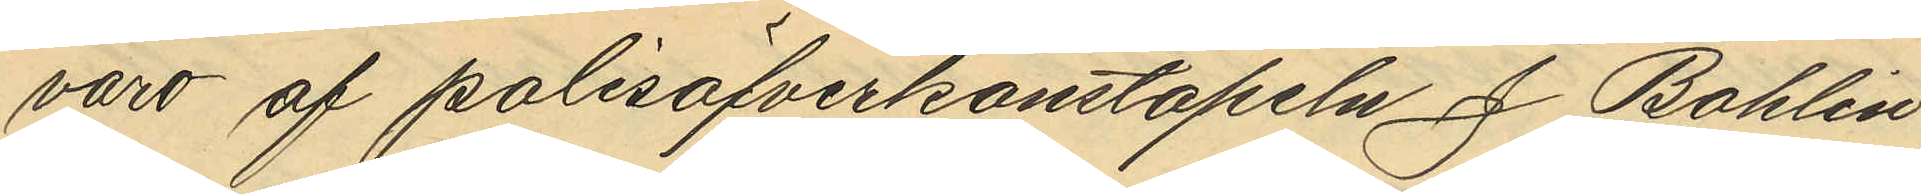varo af polisöfverkonstapeln J. Bohlin
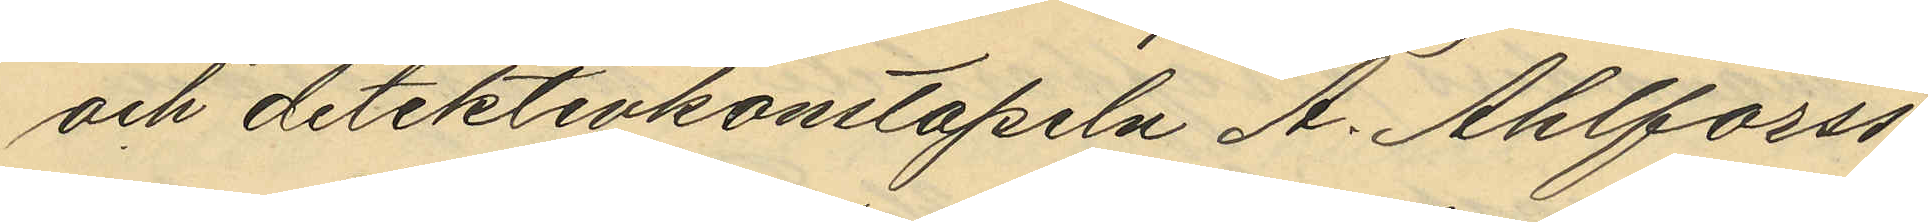och detektivkonstapeln A. Ahlforss
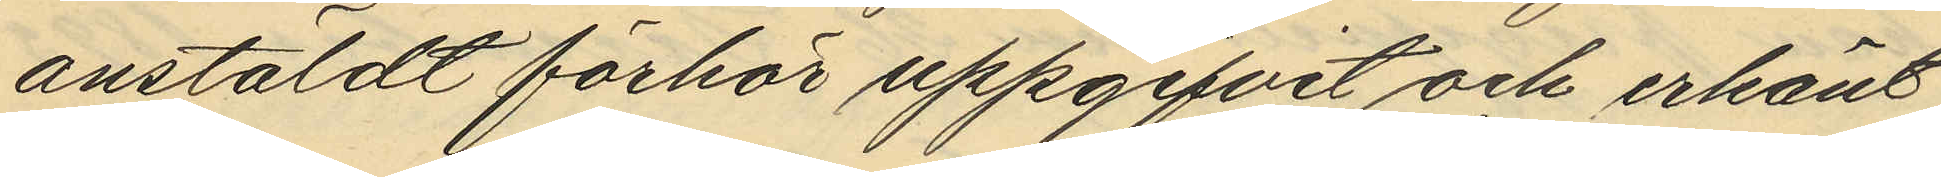anstäldt förhör uppgifvit och erkänt
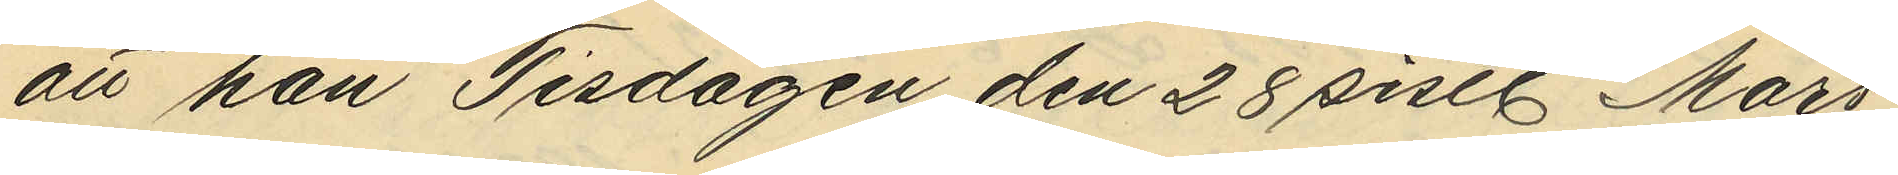att han Tisdagen den 28 sistl. Mars
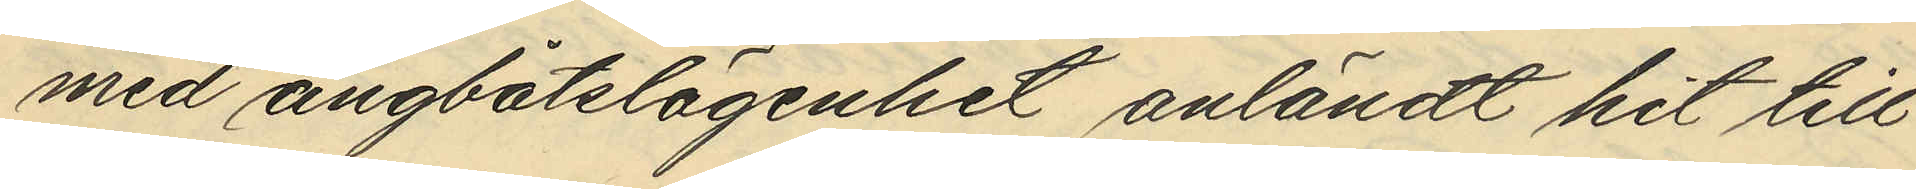med ångbåtslägenhet anländt hit till
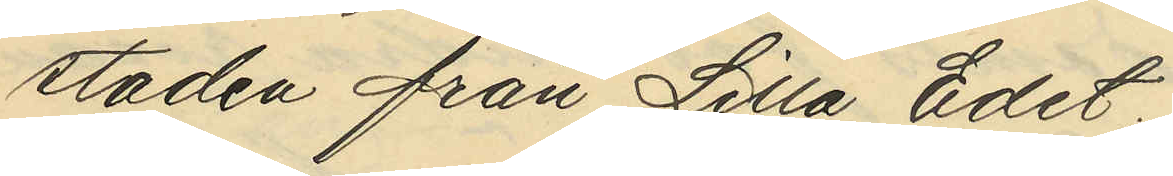staden från Lilla Edet,
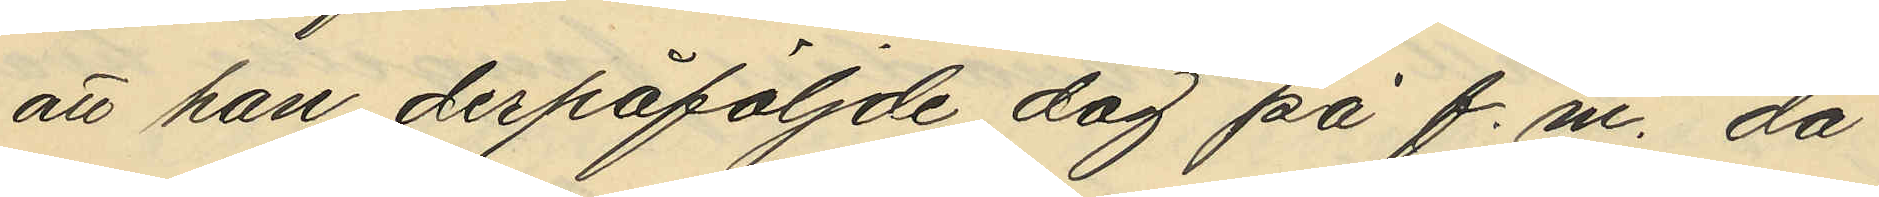att han derpåföljde dag på f.m. då
